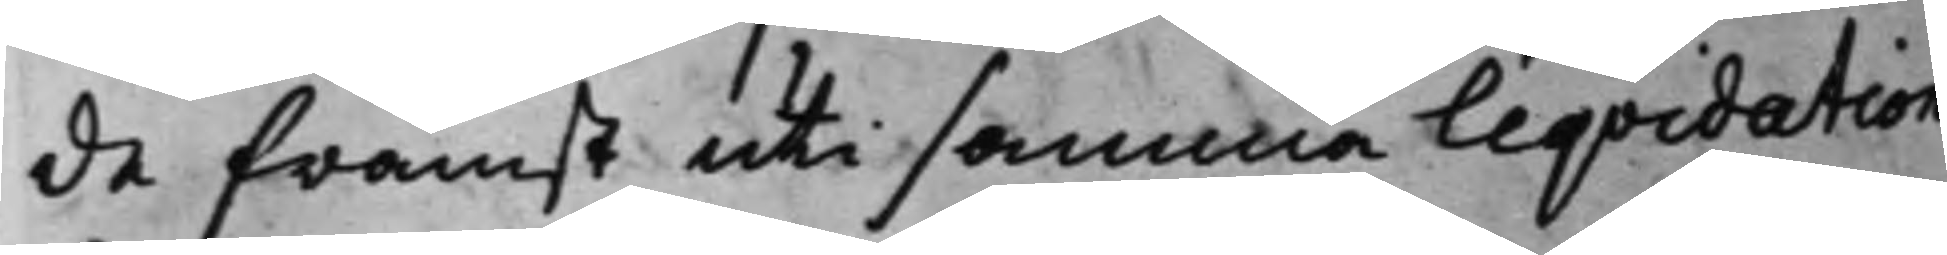de främst uti samma Liqvidation
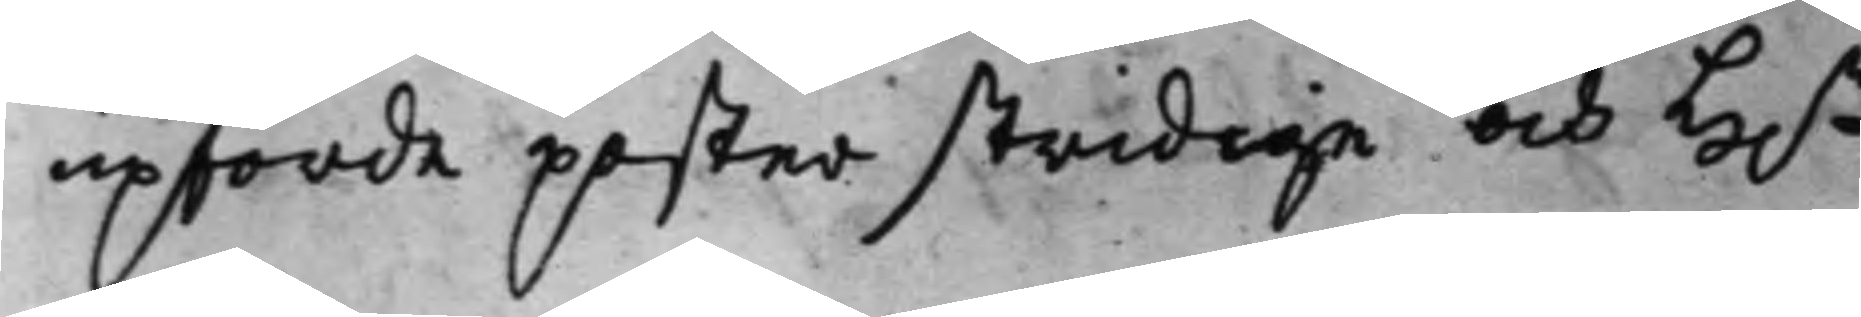upförde poster stridige och H.r
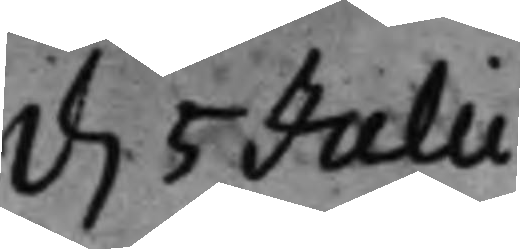d. 5 Julii.
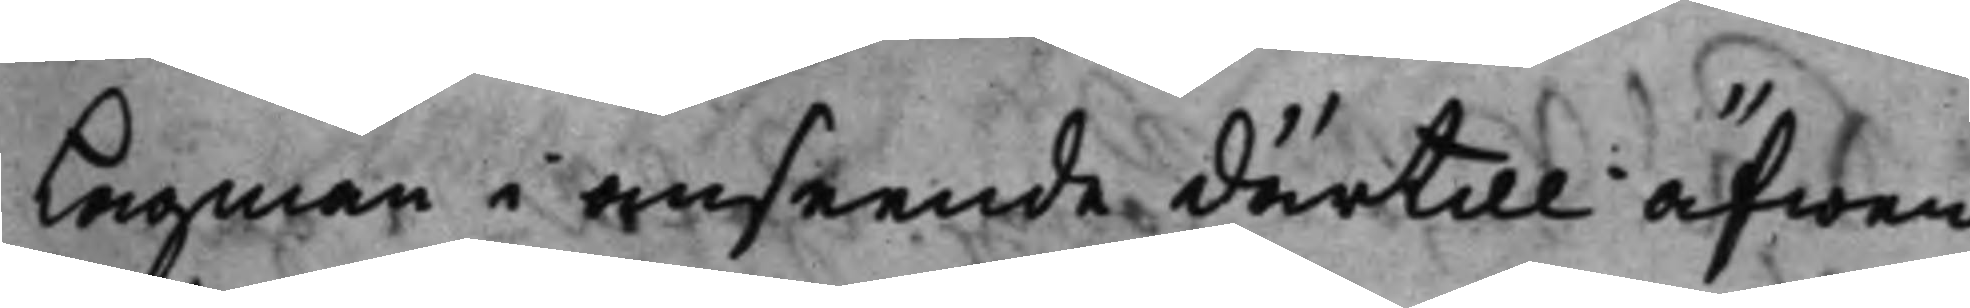Lagman i anseende därtill äfwen
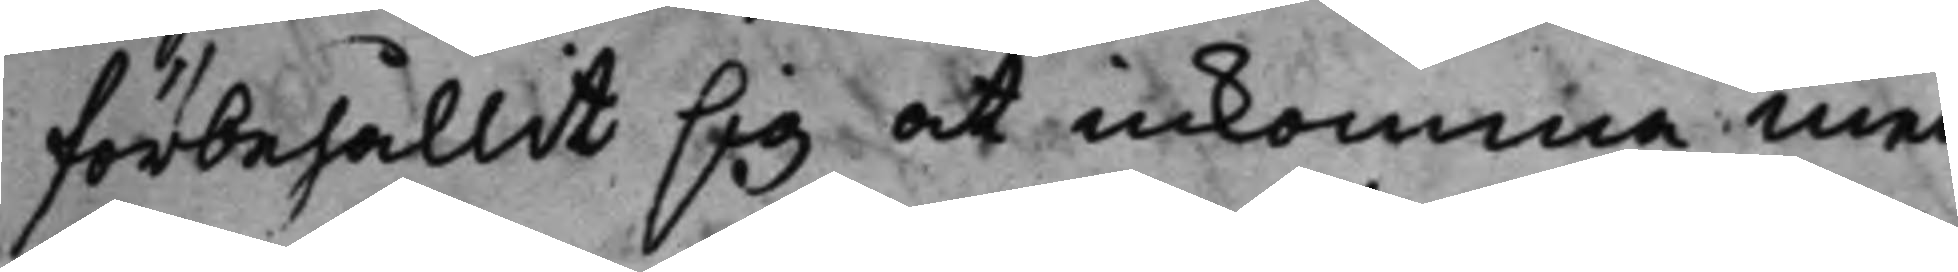förbehållit sig at inkomma med
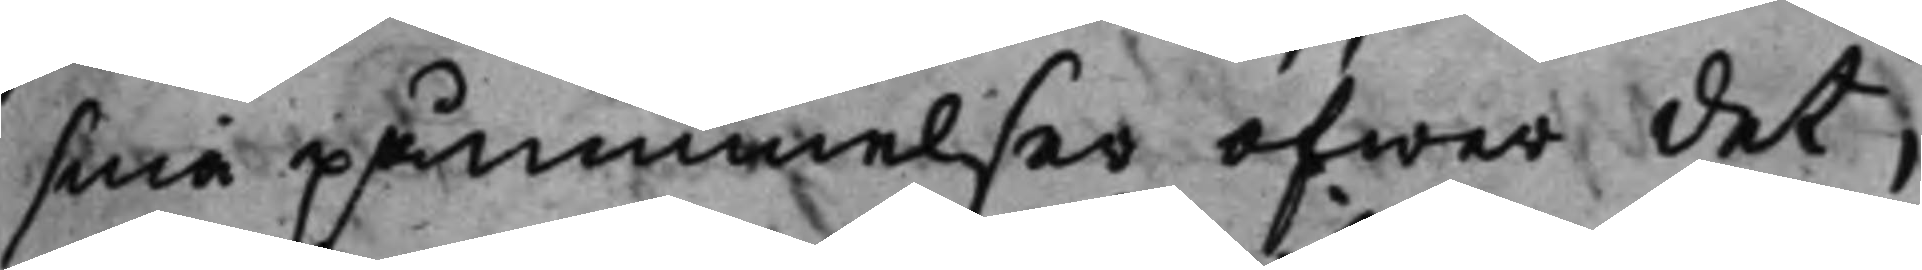sina påminnelser öfwer det,
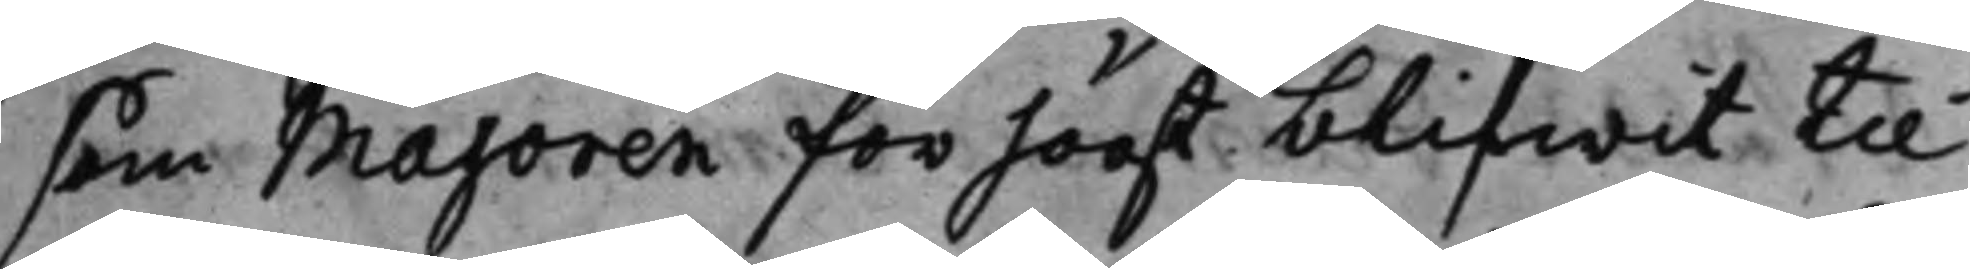som Majoren för högt blifwit til¬
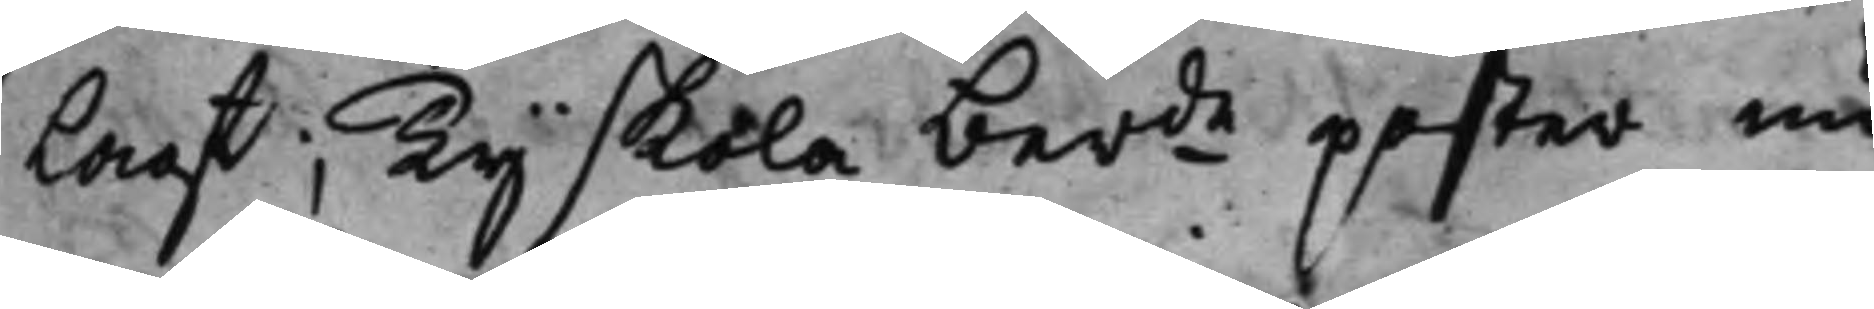Lagt; Ty skola berde poster nu
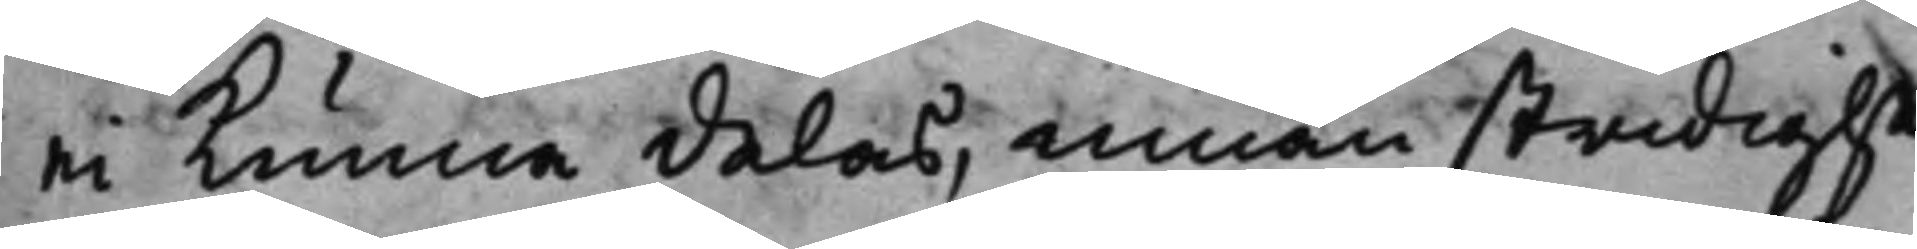ei Kunna delas, innan stridighe¬
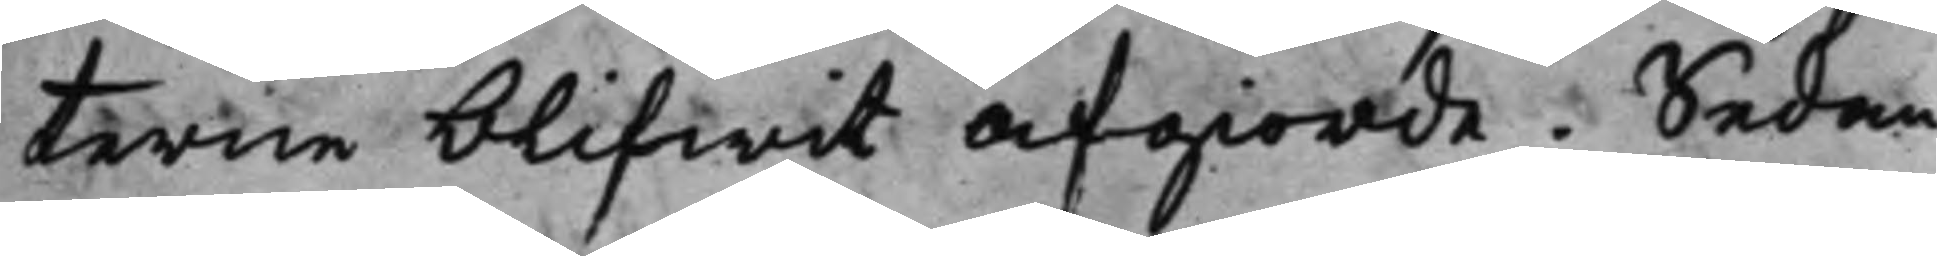terne blifwit afgiorde. Sedan
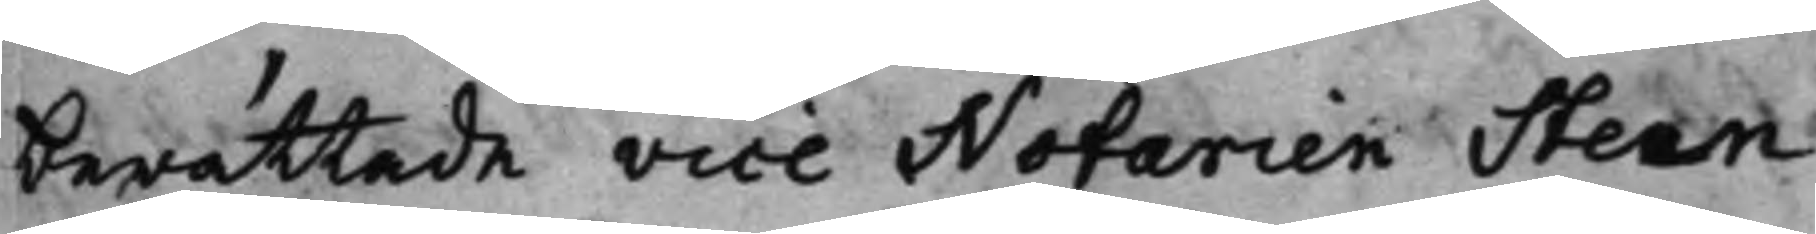berättade vice Notarien Steen
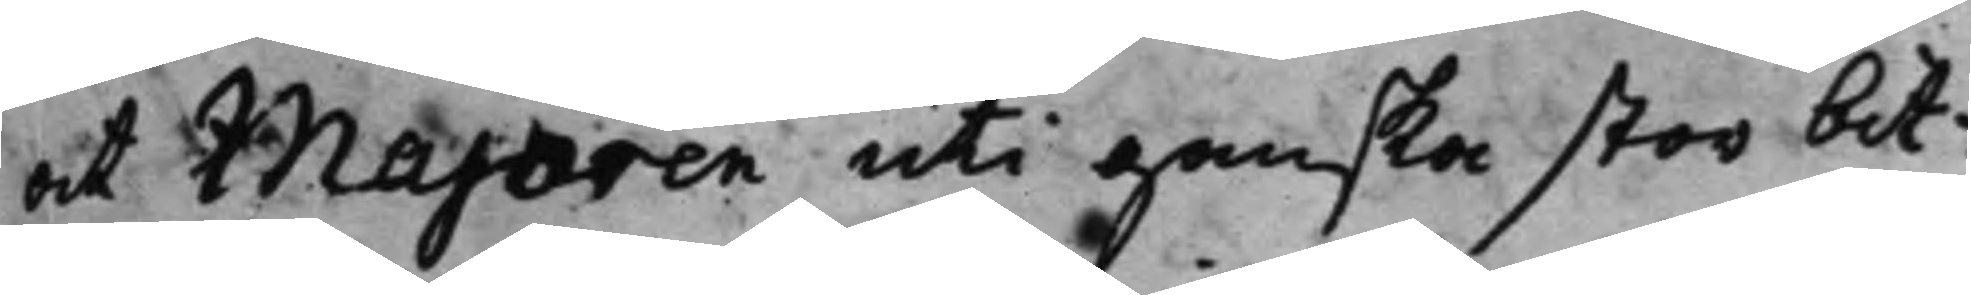at Majoren uti ganska stor bit¬
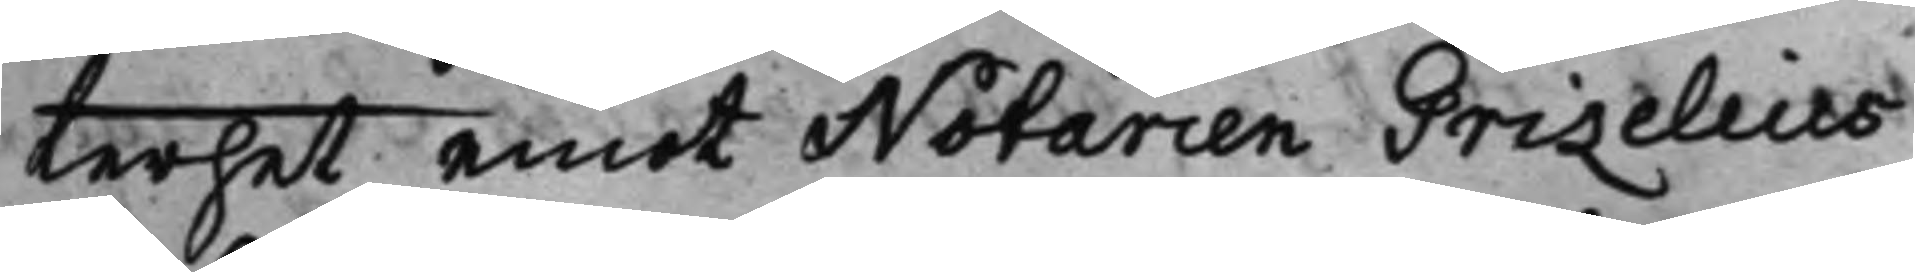terhet emot Notarien Grizelius
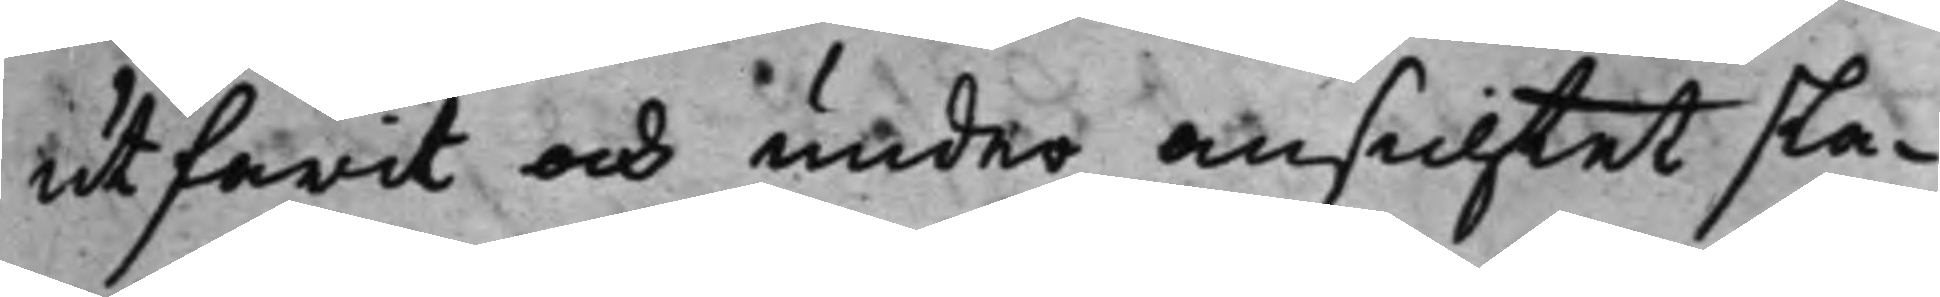utfarit och under ansichtet sla¬
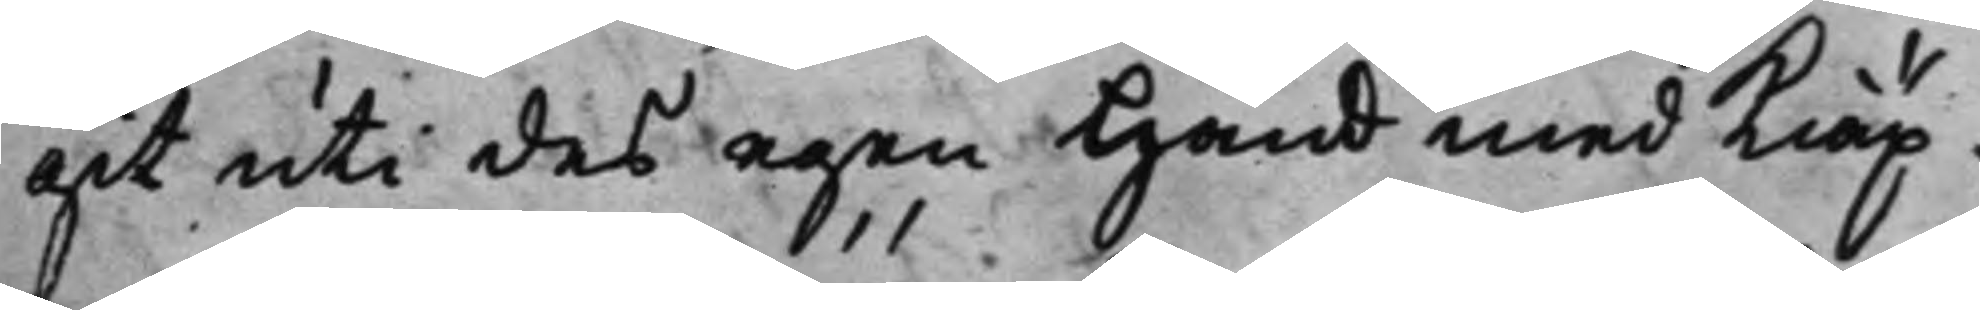git uti des egen Hand med Kiäp¬
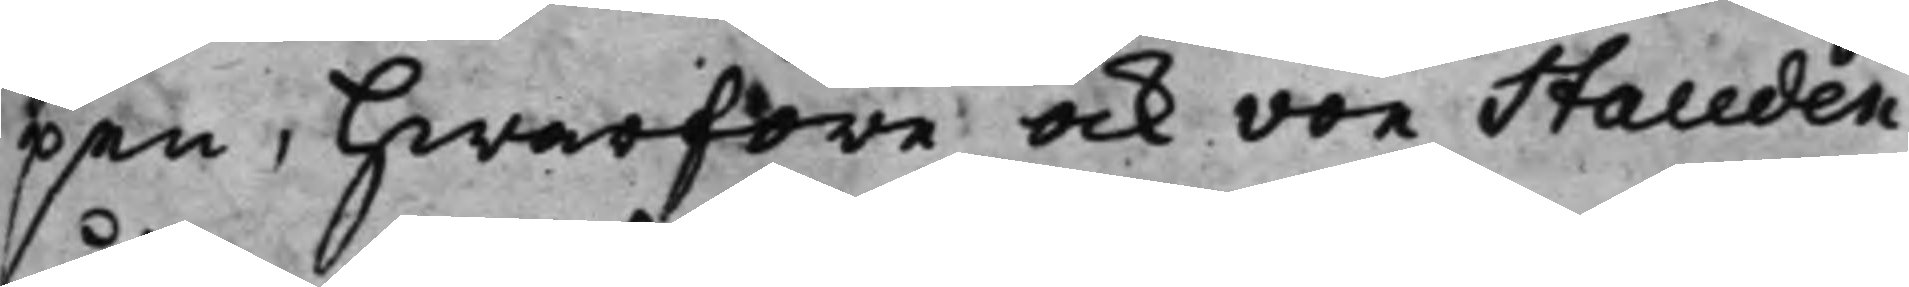pen, Hwarföre ock von Stauden
